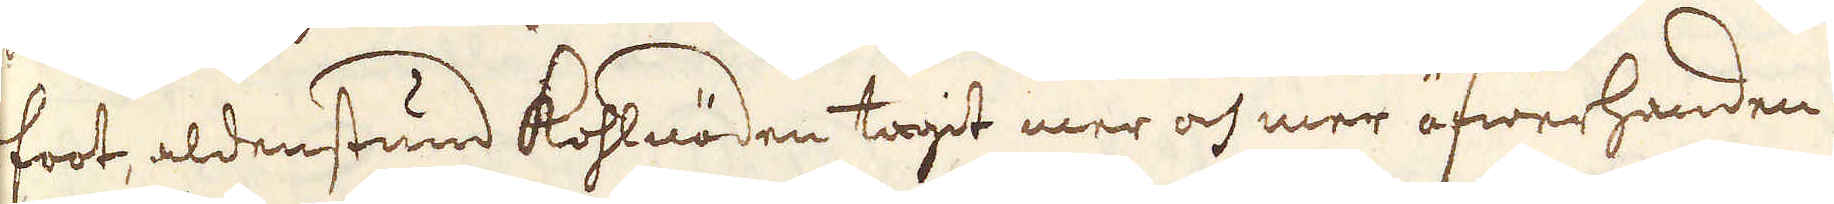foot, aldenstund Kohlnöden tagit mer och mer öfwerhanden,
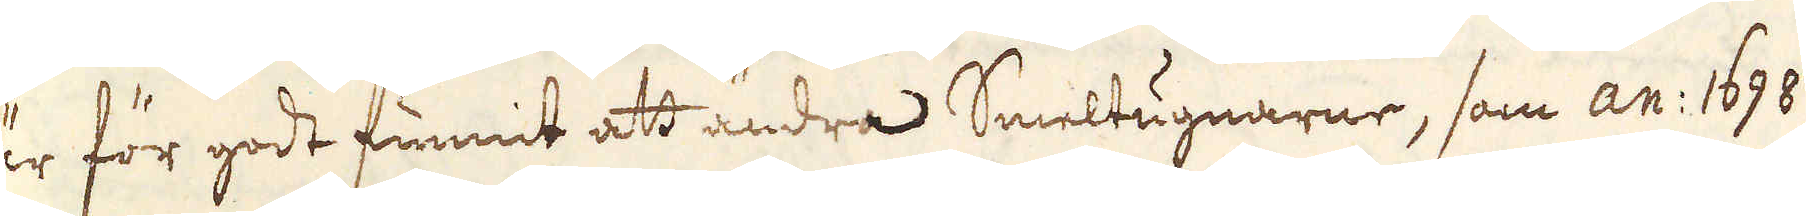är för godt funnit att ändra Smeltugnarne, som an: 1698
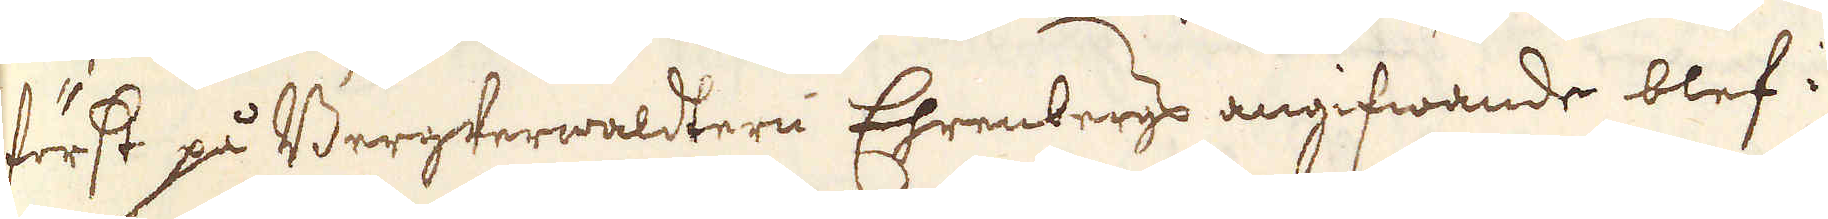först på BergVerwaldtern Ehrenbergs angifwande blef i
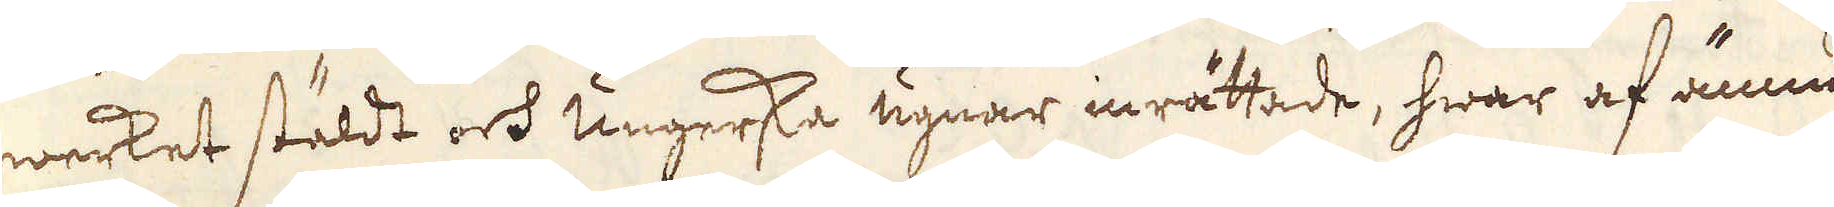werket stäldt och ungerska ugnar inrättade, hwar af ännu
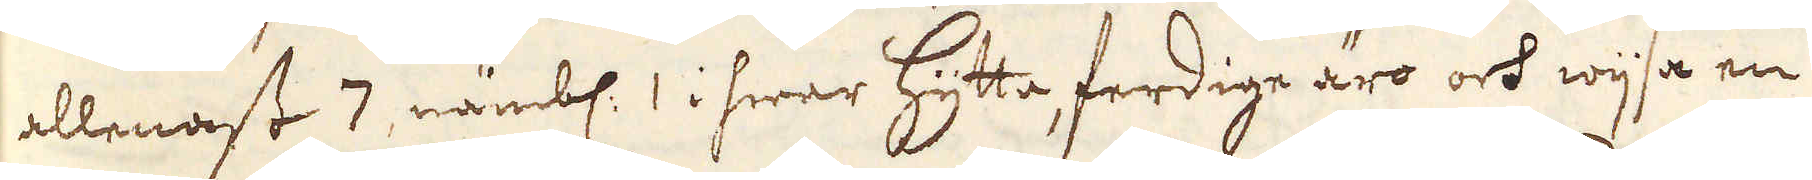allenast 7, nämbl: 1 i hwar Hytta, ferdige äro och wijsa en
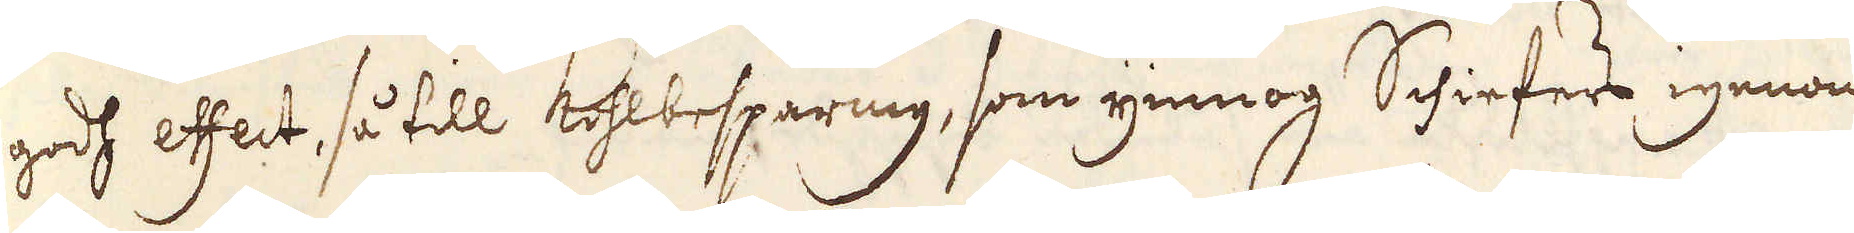godh effect, så till Kohlbesparing, som ymnog Schiefers igenom-
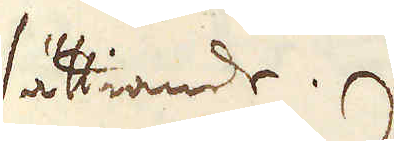sättiande.
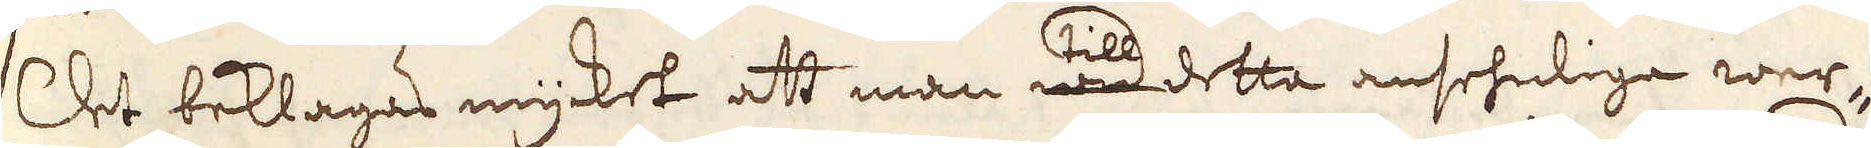Det beklagas mycket att man wid till detta ansehnliga wer-
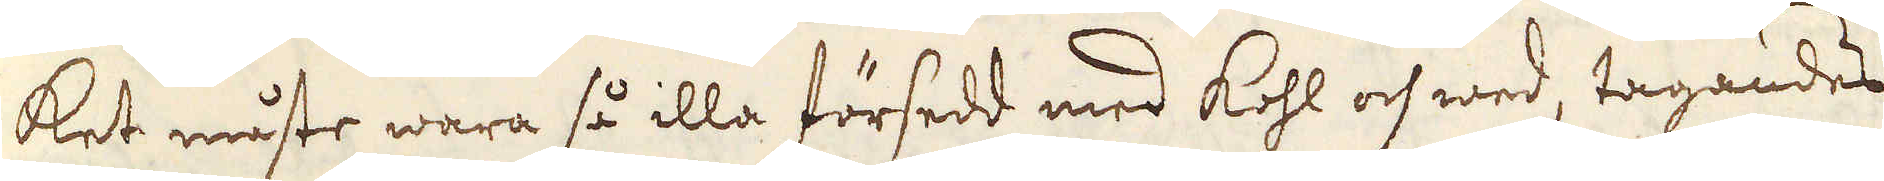ket måste wara så illa försedd med kohl och wed, tagandes
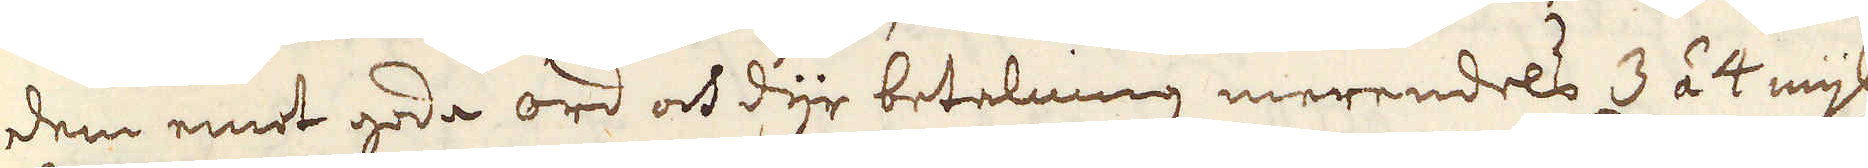dem emot goda ord och dyr betalning merendels 3 á 4 mijl
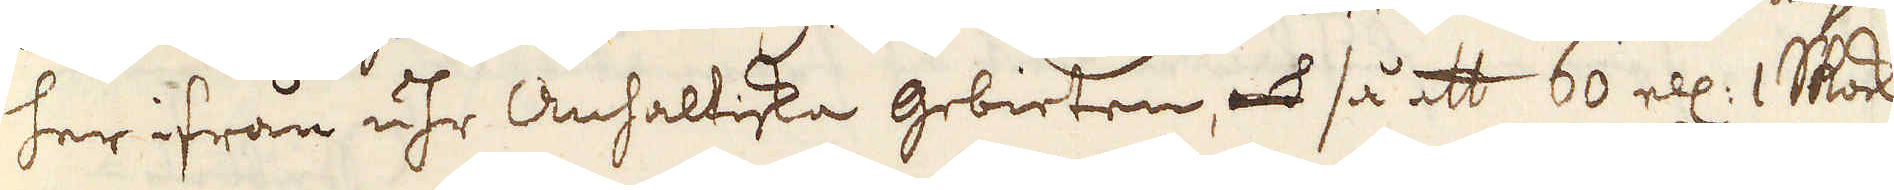her ifrån uhr Anhaltiska gebieten, och så att 60 ell: 1 Skock
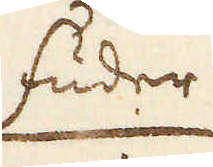fuder
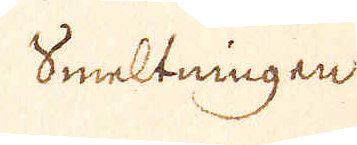Smeltningen
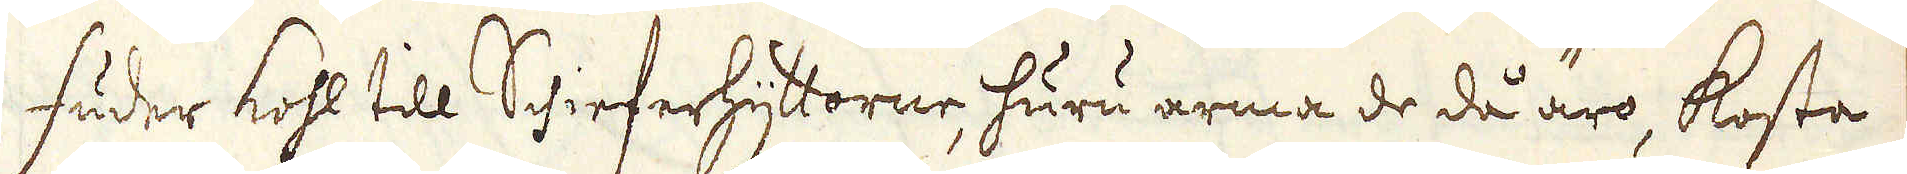fuder kohl till Shieferhyttorne, huru arma de då äro, kosta
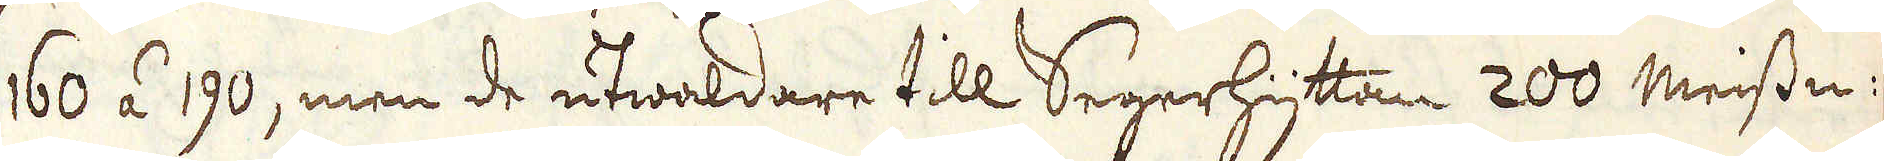160 á 190, men de utwaldare till Segerhyttan 200 meissen:
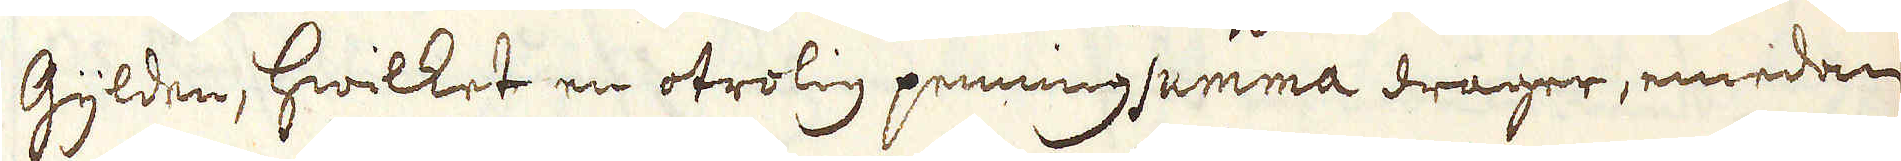Gylden, hwilket en otrolig penningsumma drager, emedan
